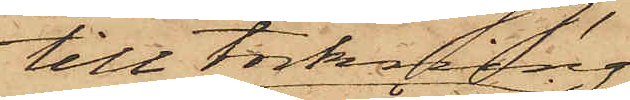till torkning
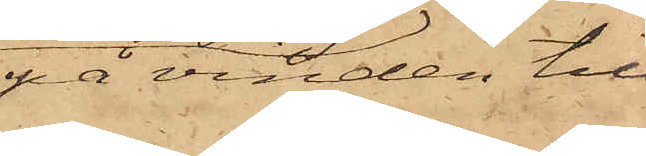på vinden till
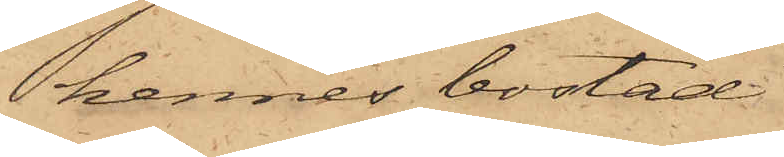hennes bostad
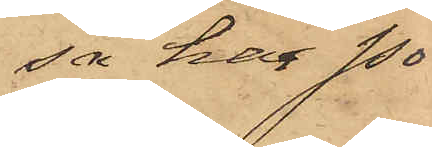, så har Po¬
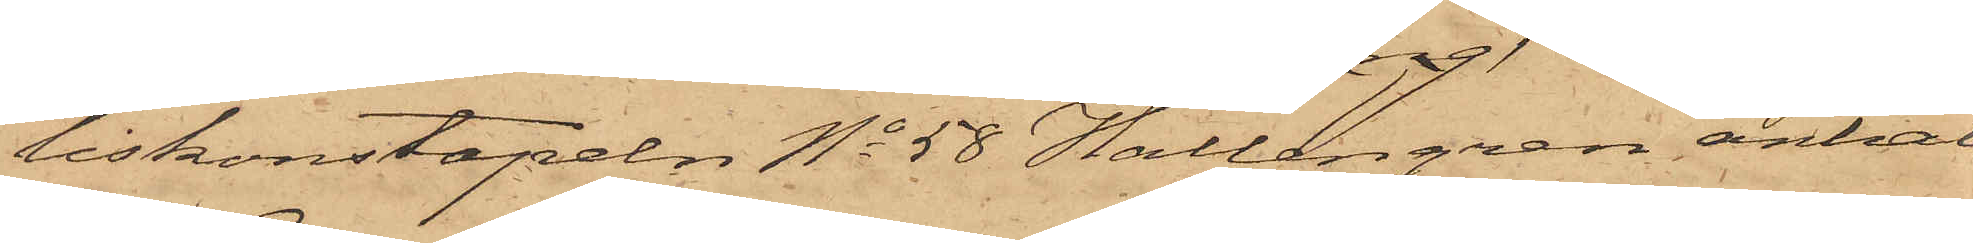liskonstapeln No 58 Hallengren anhåll¬
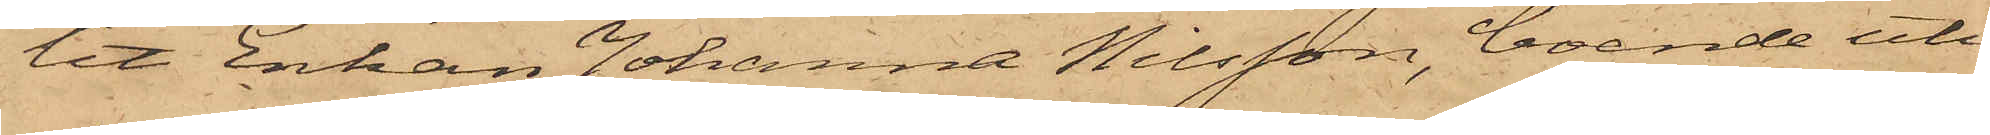lit Enkan Johanna Nilsson, boende uti
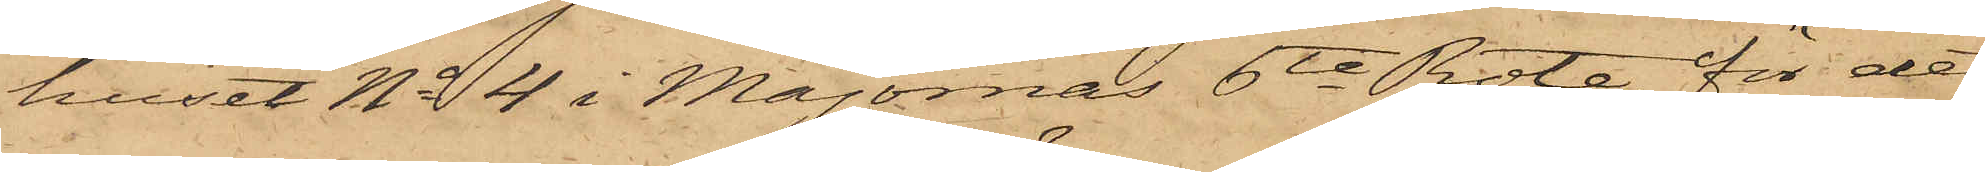huset No 4 i Majornas 6te Rote, för det
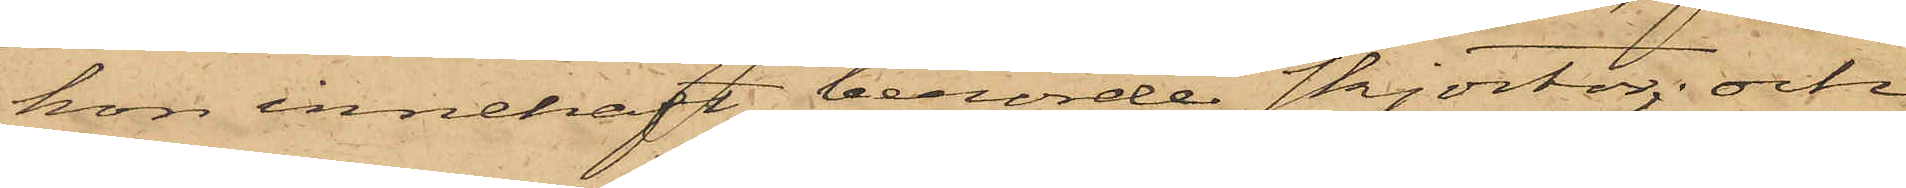hon innehaft berörde skjortor; och
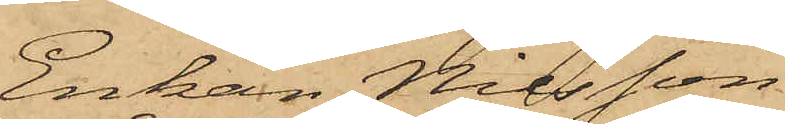Enkan Nilsson
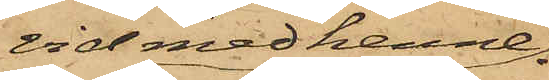vid med henne
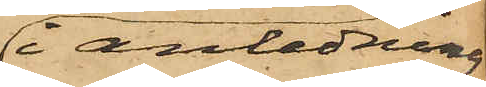i anledning
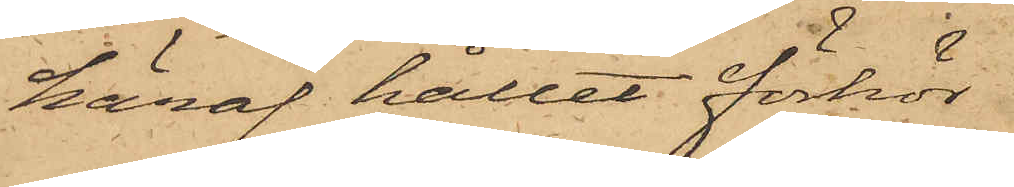häraf hållet förhör
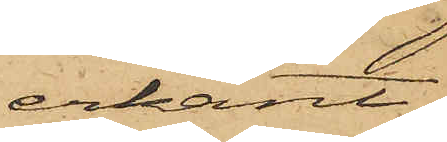erkänt,
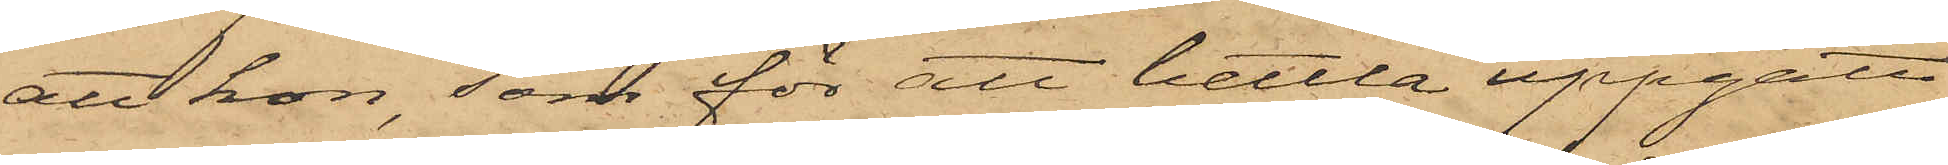att hon, som för att bettla uppgått
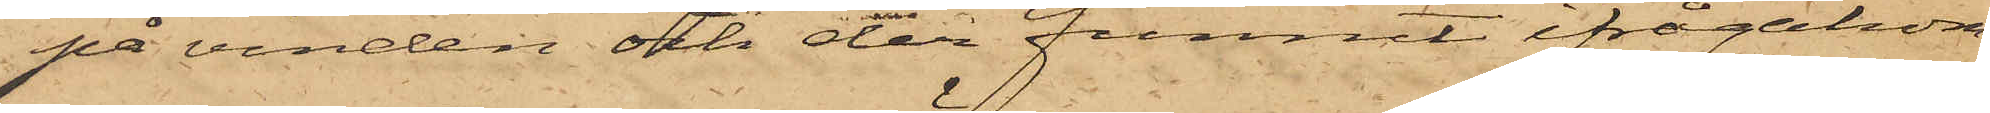på vinden och der funnit ifrågakom¬
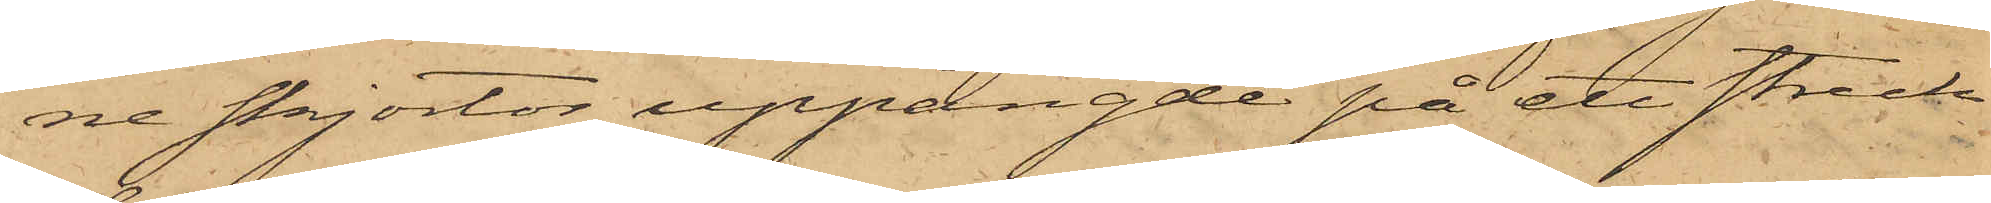ne skjortor uppängde på ett streck
